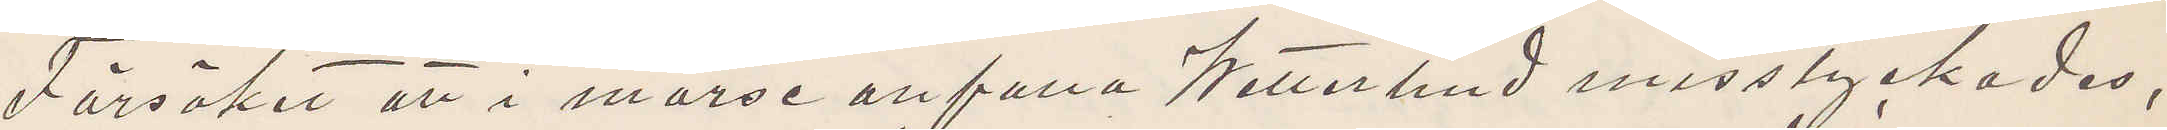Försöket att i morse anfalla Wetterlind misslyckades,
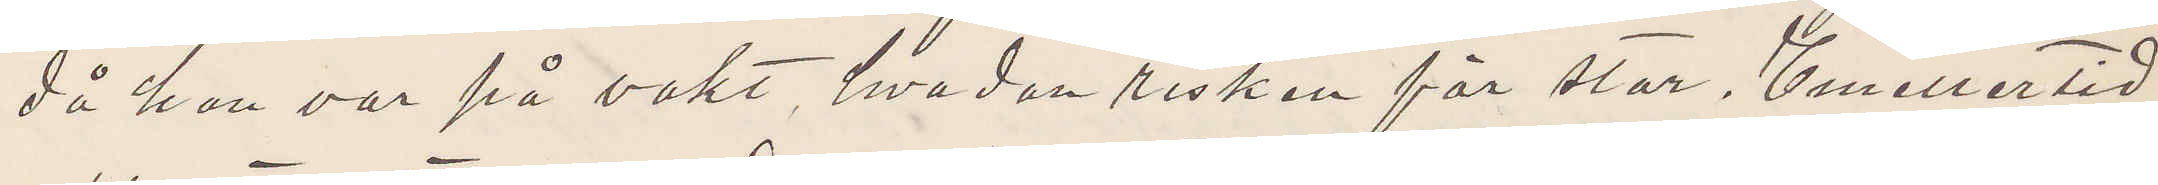då han var på vakt, hvadan risken för stor. Emellertid
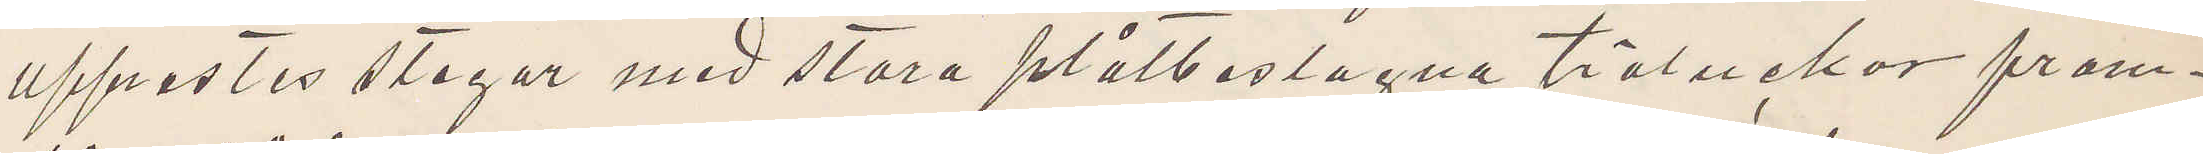upprestes stegar med stora plåtbestagna träluckor fram¬
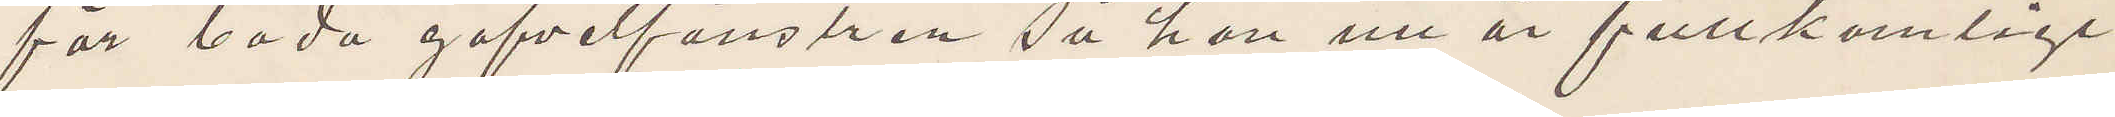för båda gafvelfönstren så han nu är fullkomligt
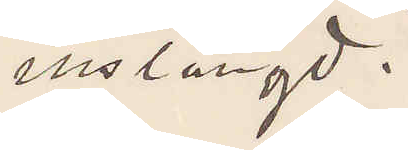instängd.
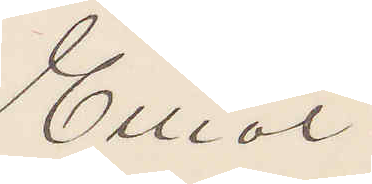Elliot
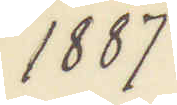1887
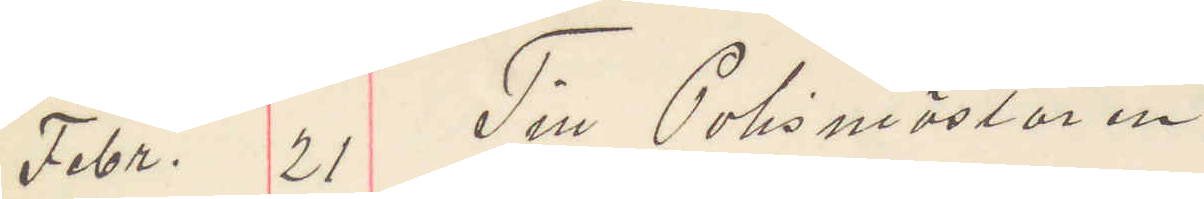Febr. 21 Till Polismästaren
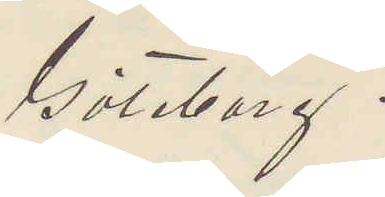göteborg.
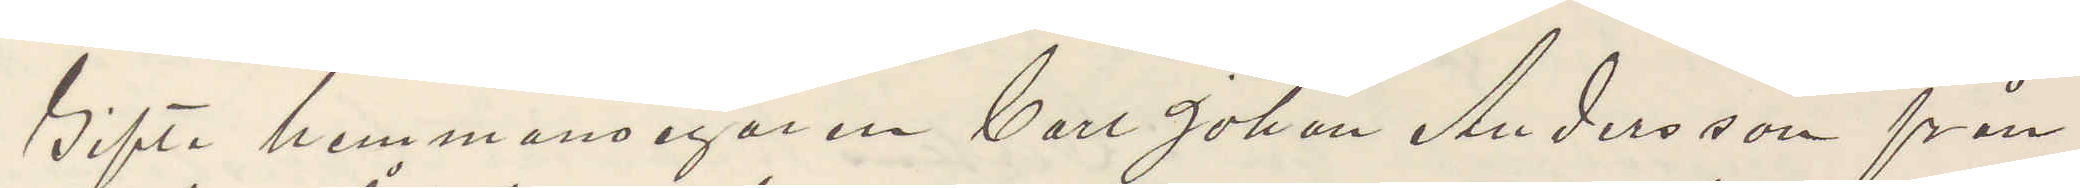Gifta hemmansegaren Carl Johan Andersson från
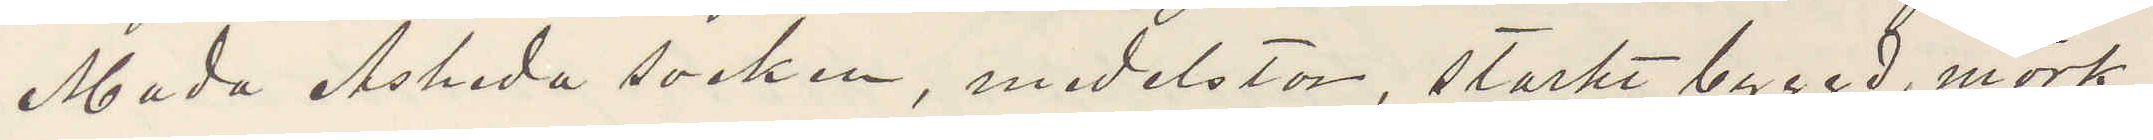Mada Åsheda socken, medelstor, starkt byggd, mörk,
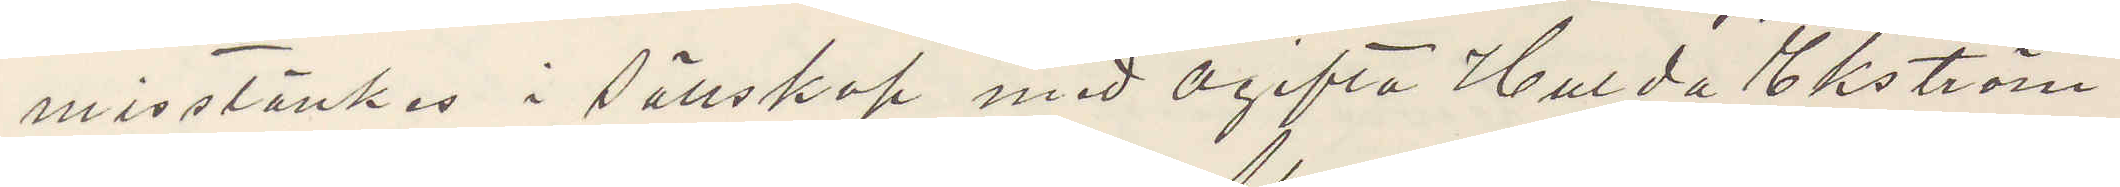misstänkes i sällskap med ogifta Hulda Ekström
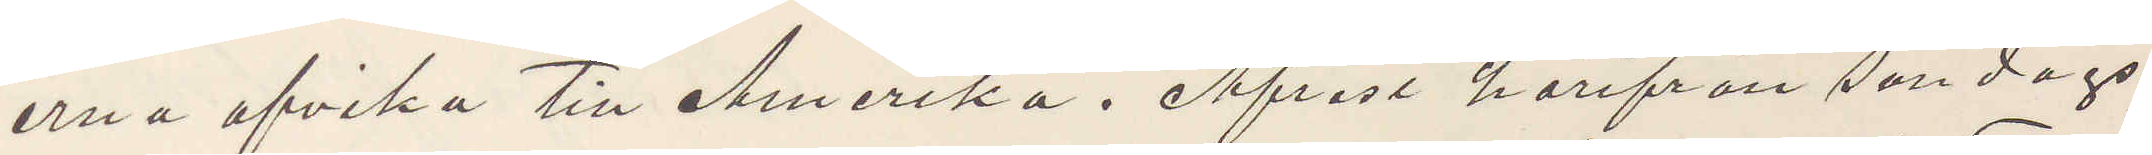erna afvika till Amerika. Afrest härifrån söndags
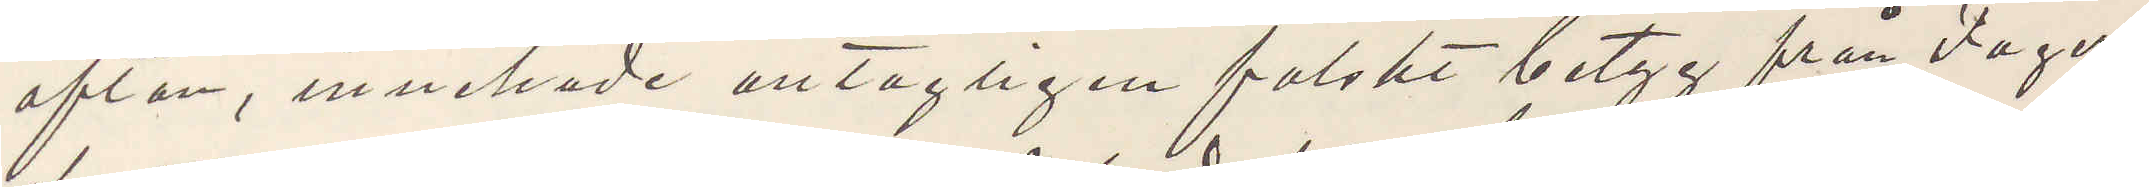afton, innehade antagligen falskt betyg från Fager¬
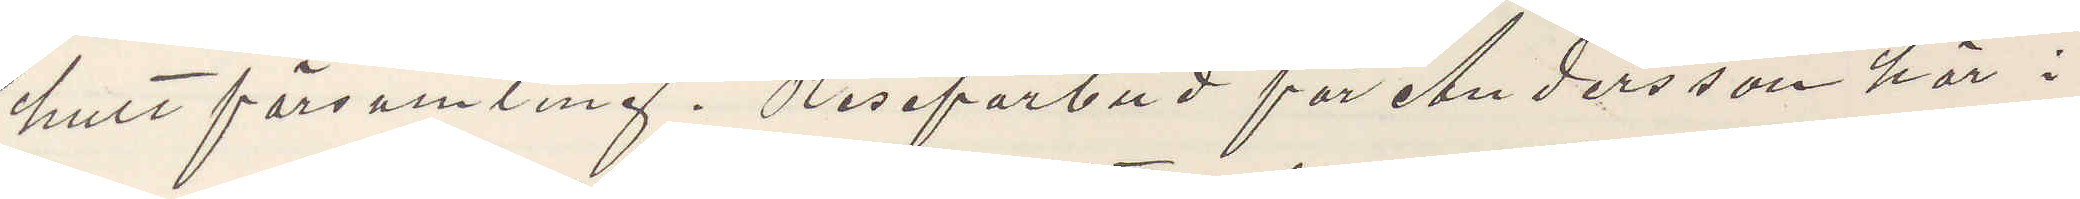hult församling. Reseförbud för Andersson här i
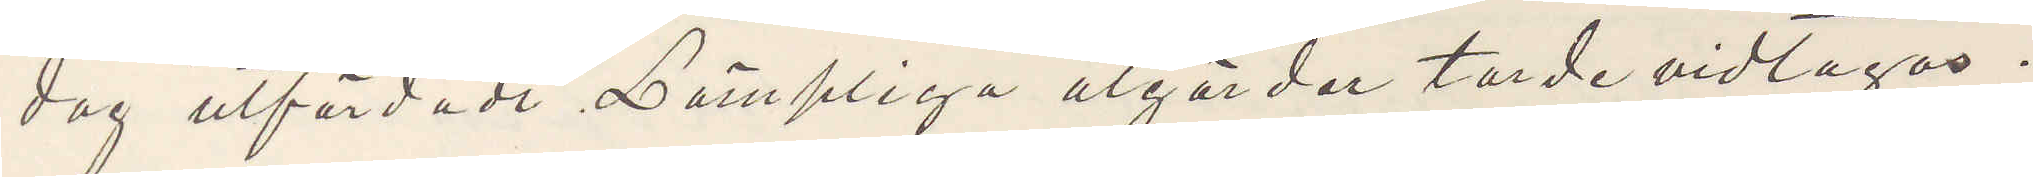dag utfärdade Lämpliga åtgårder torde vidtagas.
